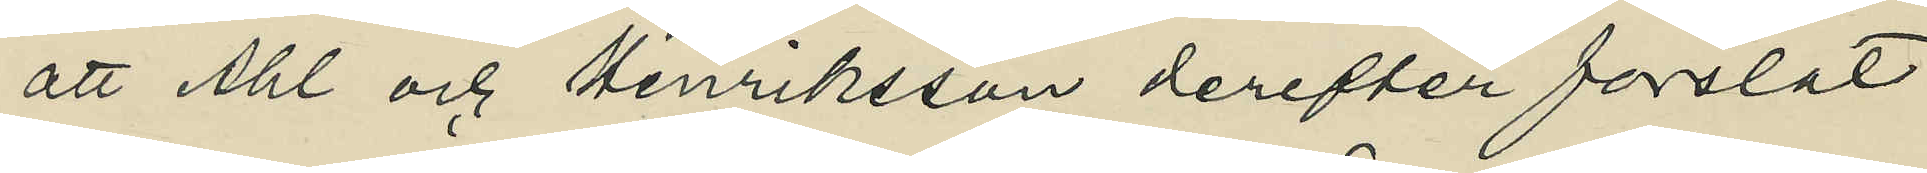att Ahl och Henriksson derefter forslat
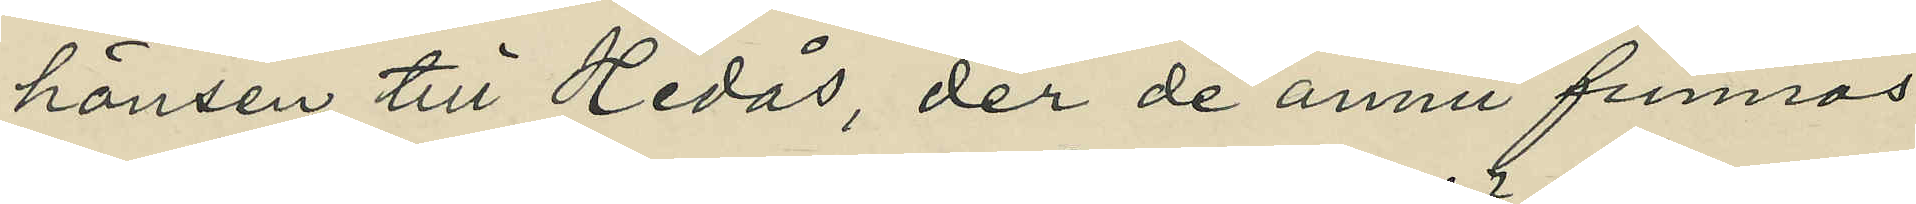hönsen till Hedås, der de ännu funnos
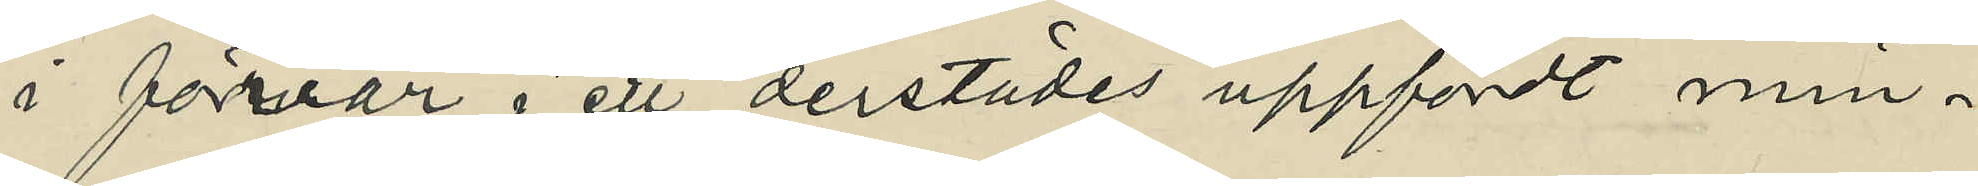i förvar i ett derstädes uppfördt min¬
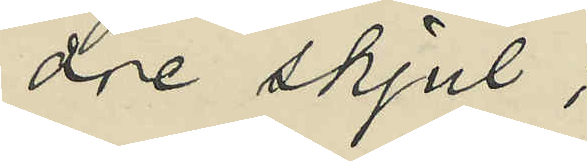dre skjul;
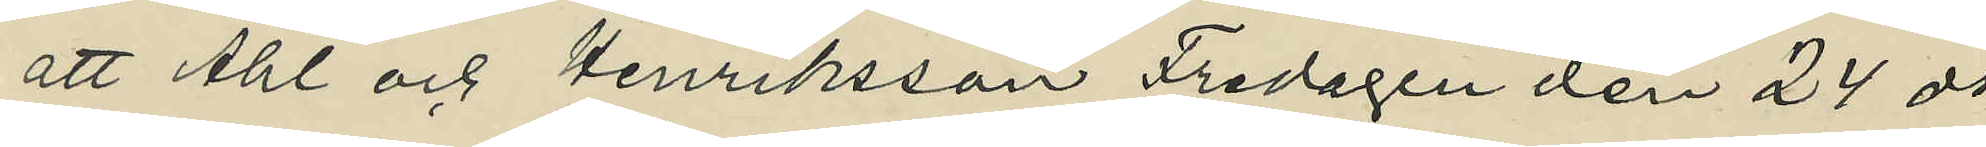att Ahl och Henriksson Fredagen den 24 ds
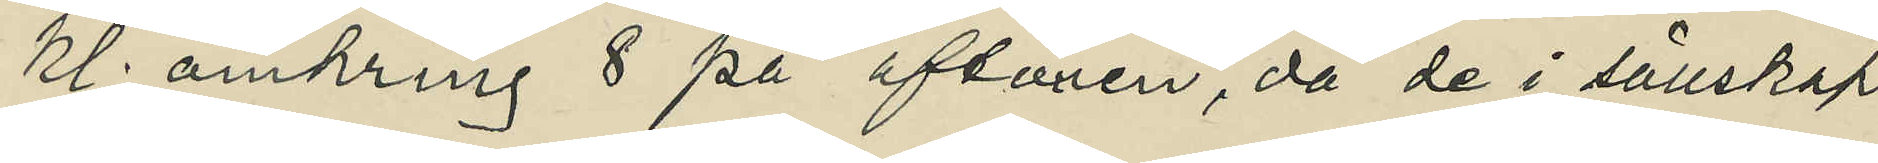kl. omkring 8 på aftonen, då de i sällskap
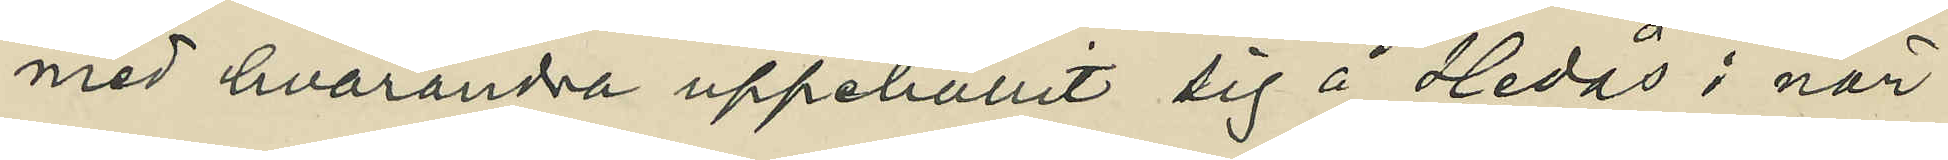med hvarandra uppehållit sig å Hedås i när¬
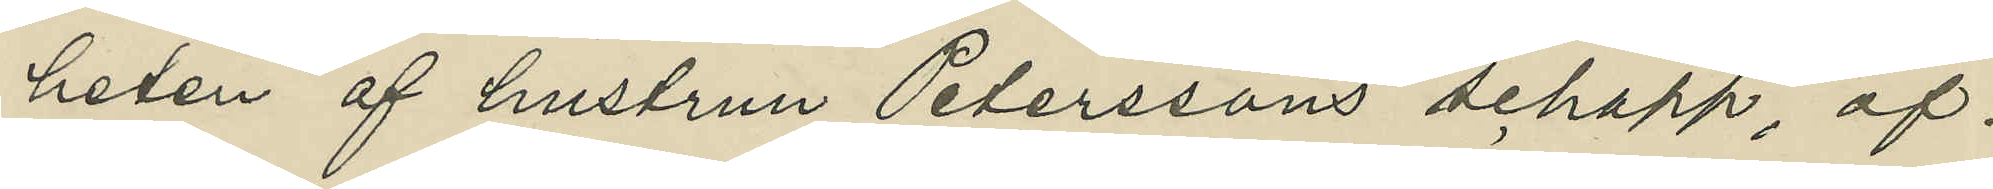heten af hustrun Peterssons schapp, öf¬
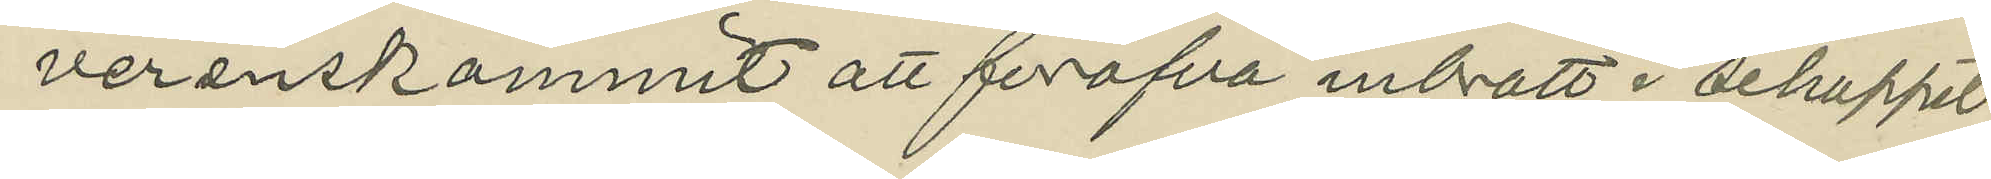verenskommit att föröfva inbrott i schappet;
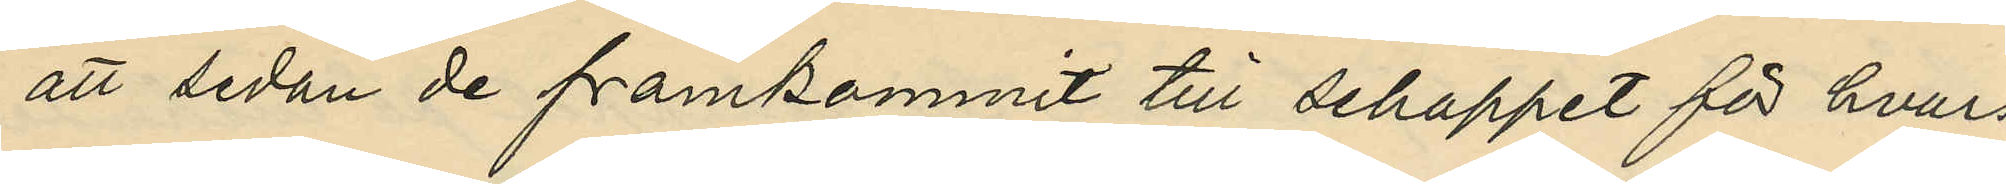att sedan de framkommit till schappet för hvars
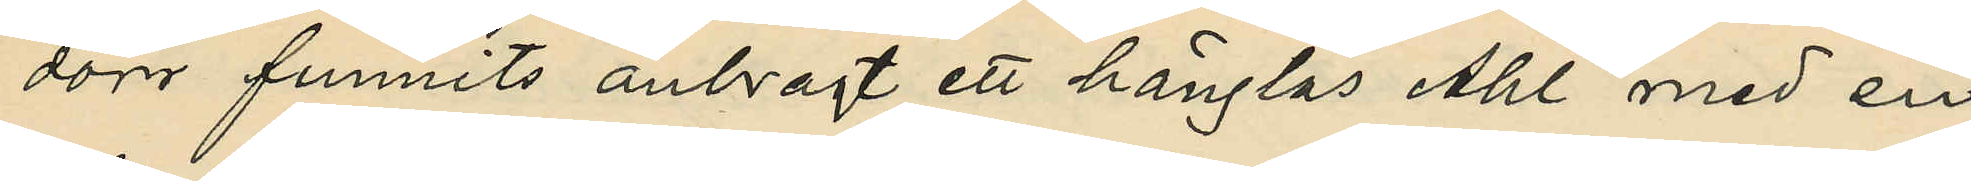dörr funnits anbragt ett hänglås Ahl med en
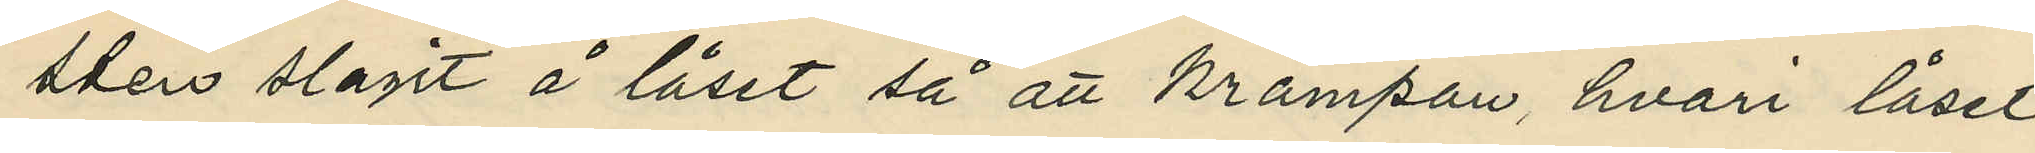sten slagit å låset så att krampan, hvari låset
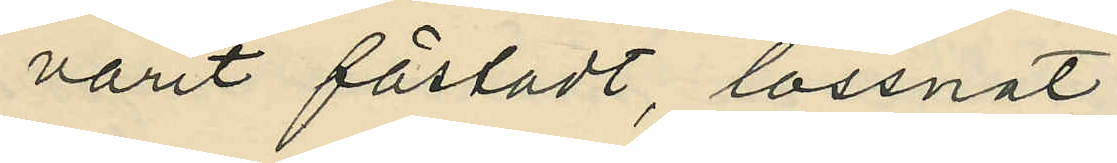varit fästadt, lossnat;
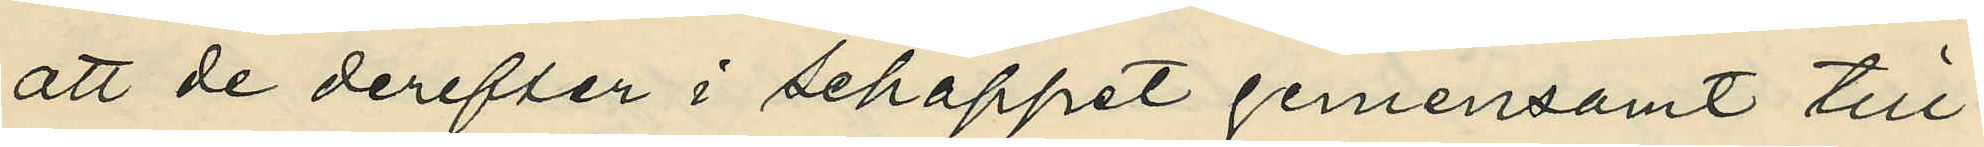att de derefter i schappet gemensamt till¬
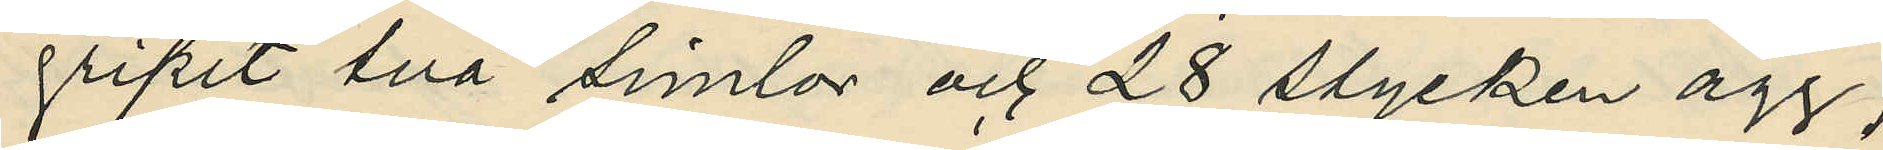gripit två simlor och 28 stycken ägg;
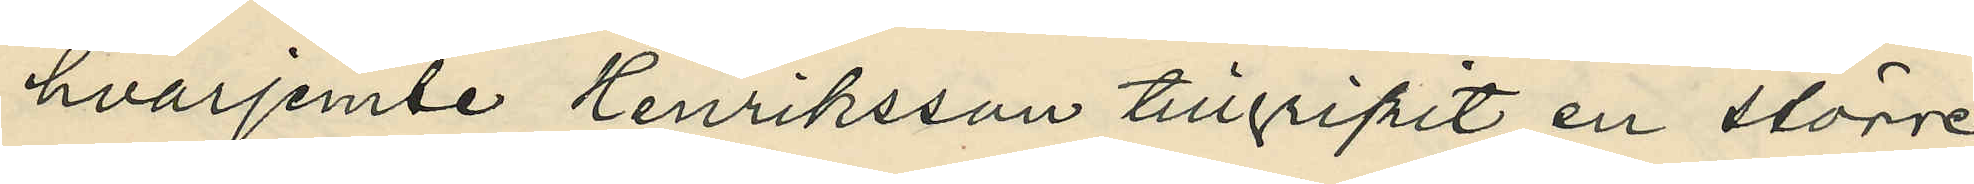hvarjemte Henriksson tillgripit en större
